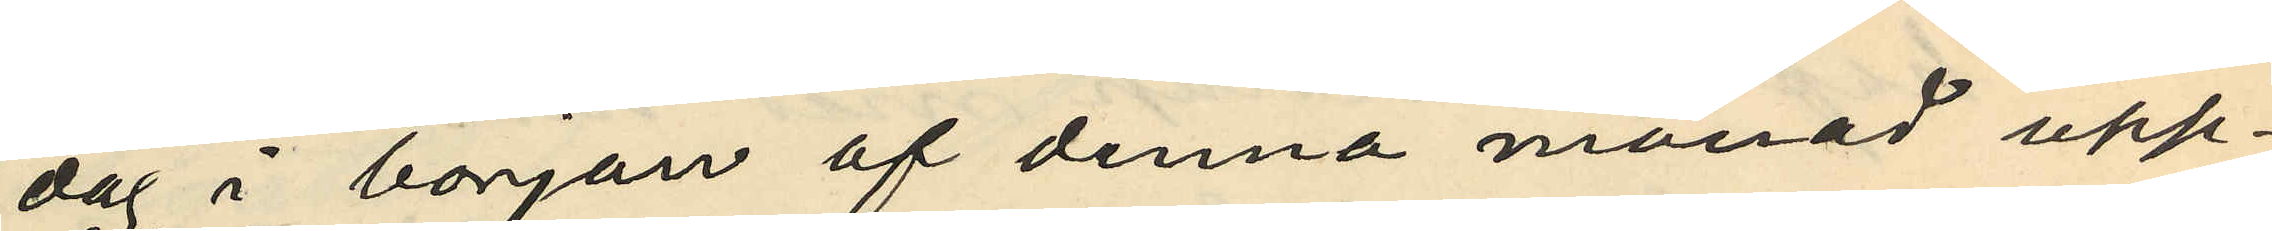dag i början af denna månad upp¬
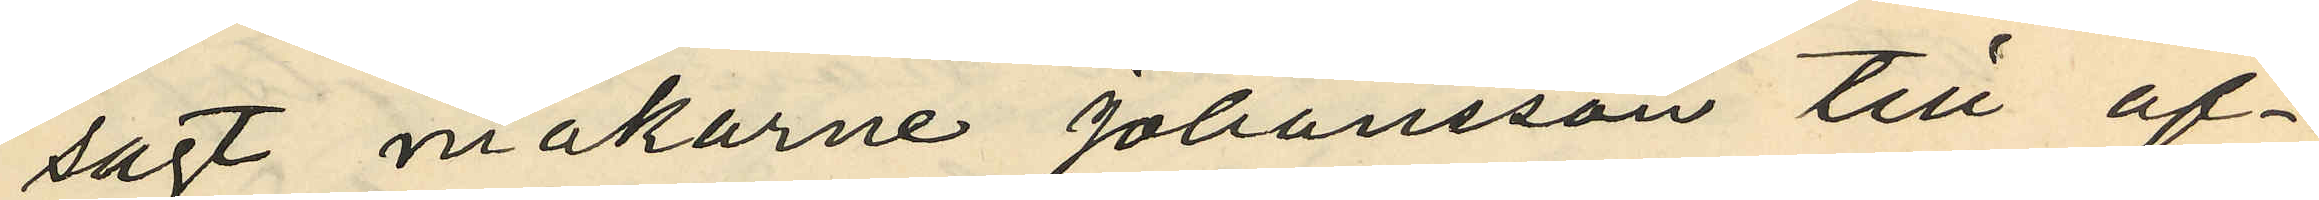sagt makarne Johansson till af¬
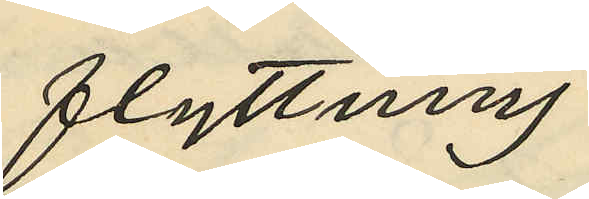flyttning;
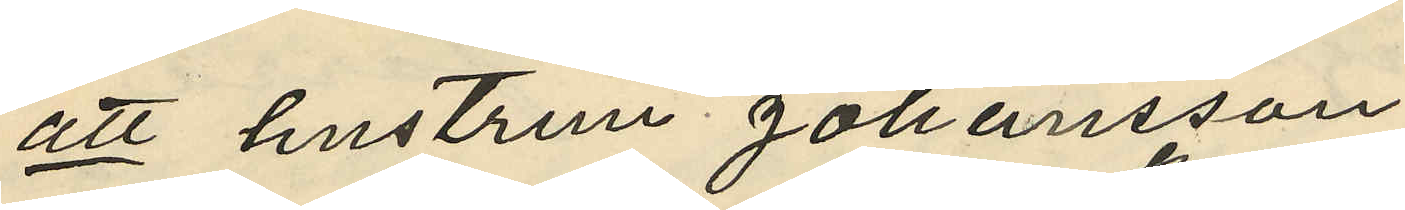att hustrun Johansson
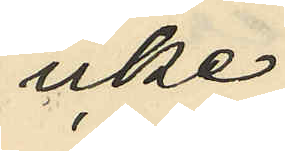icke
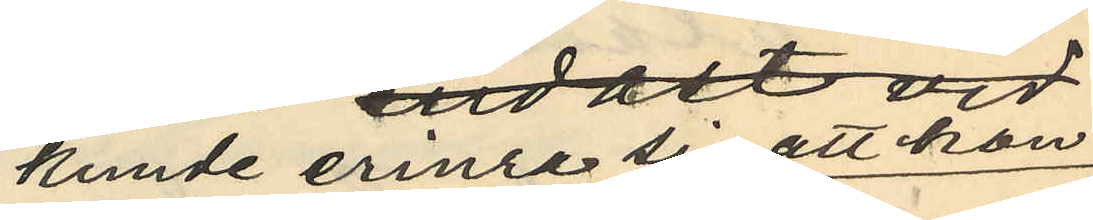kunde erinra sig att hon
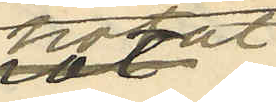hotat
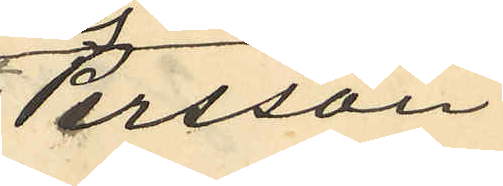Persson,
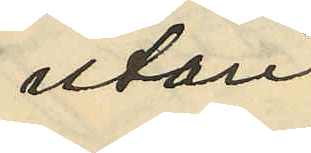utan
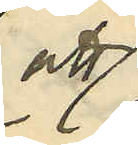att
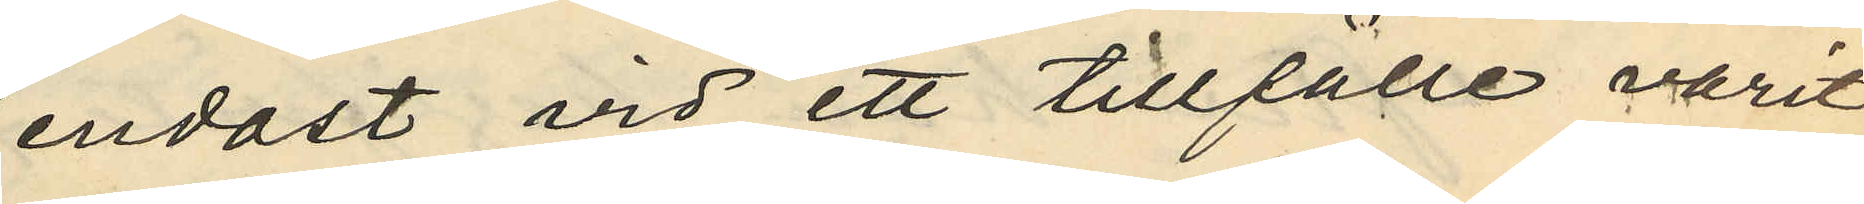endast vid ett tillfälle varit
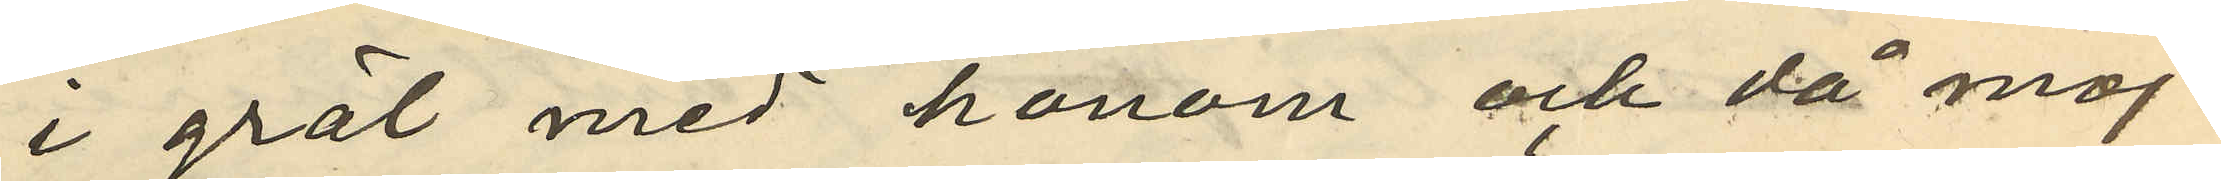i gräl med honom och då möj¬
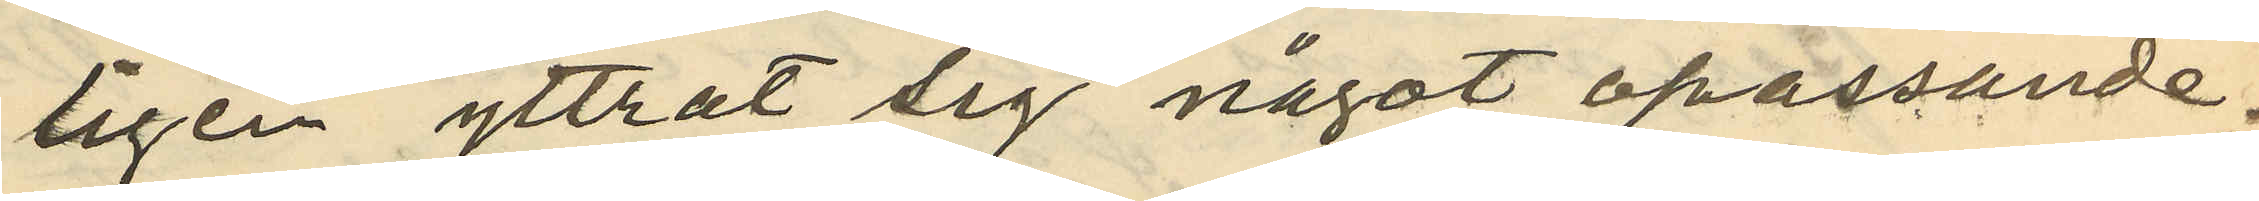ligen yttrat sig något opassande;
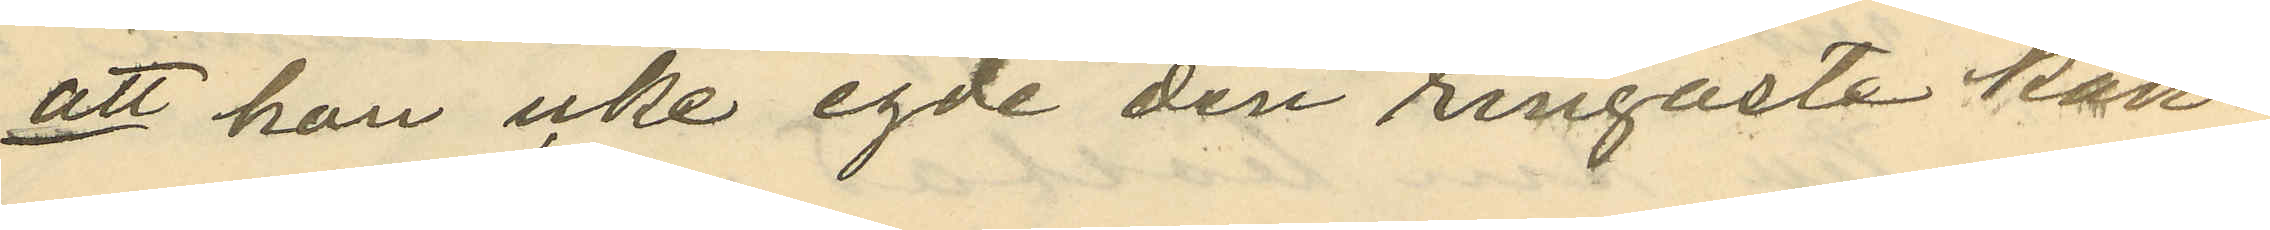att hon icke egde den ringaste kän¬
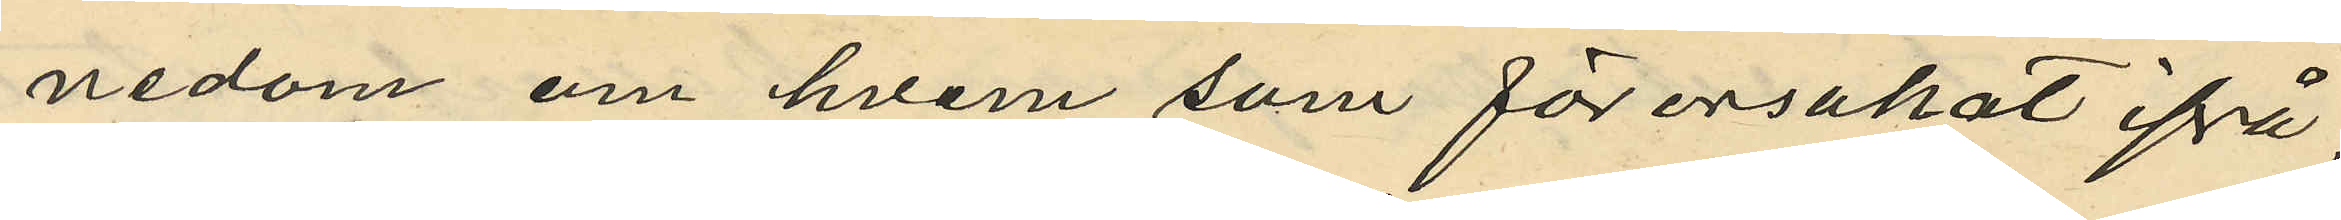nedom om hvem som förorsakat ifrå¬
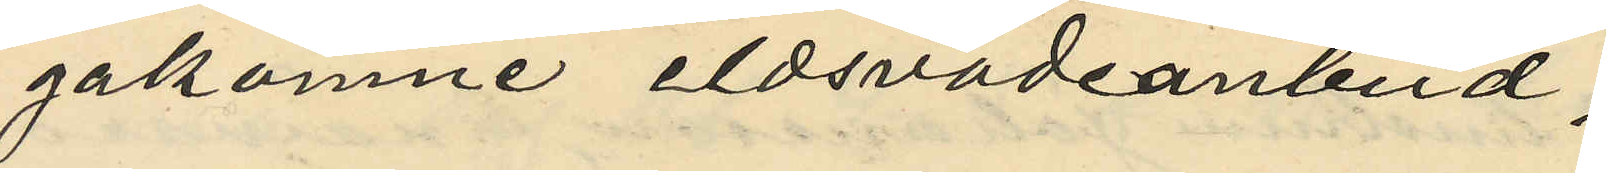gakomne eldsvådanbud;
